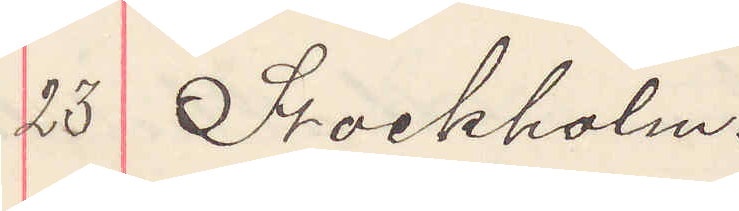23 Stockholm.
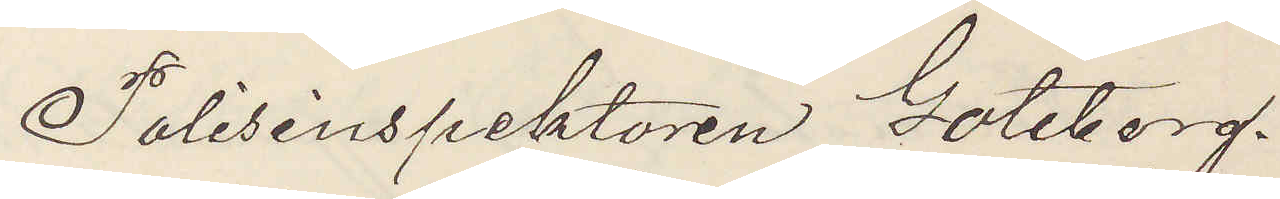Polisinspektorn Göteborg.
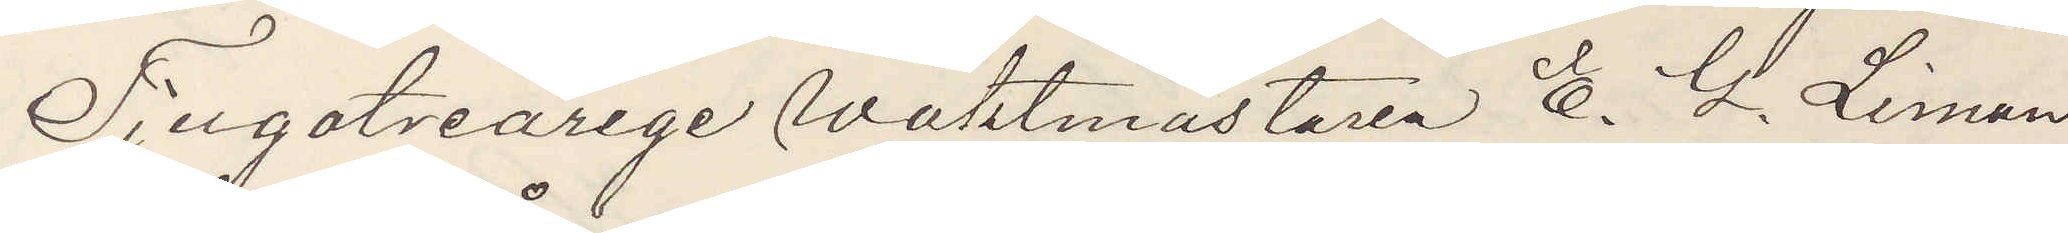Tjugotreårige Waktmästaren E. G. Liman,
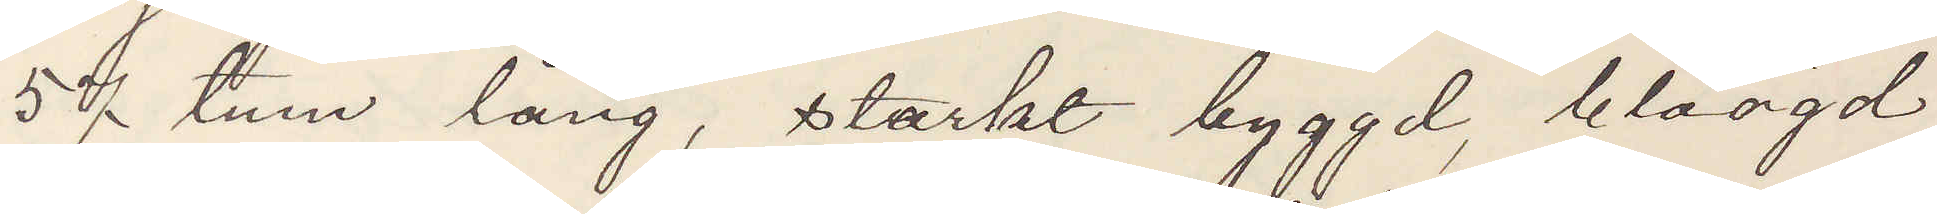57 tum lång, starkt byggd, blåögd
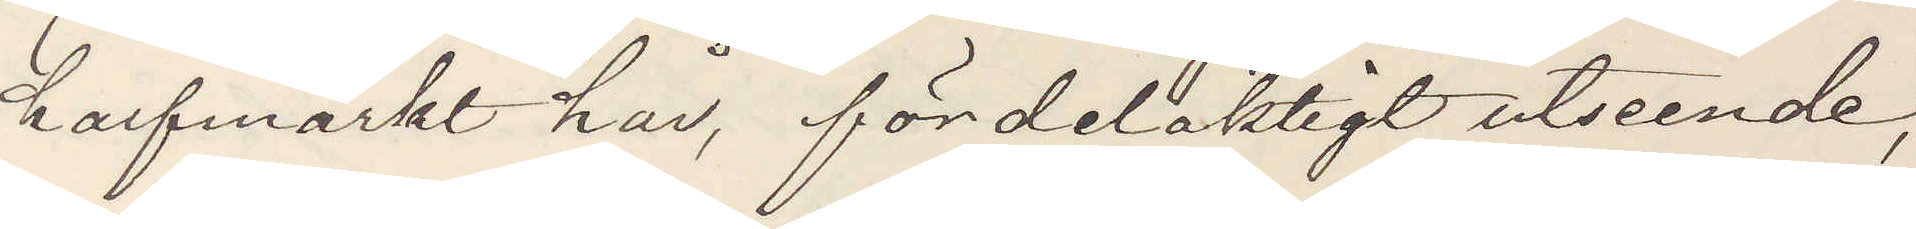halfmörkt hår, fördelaktigt utseende,
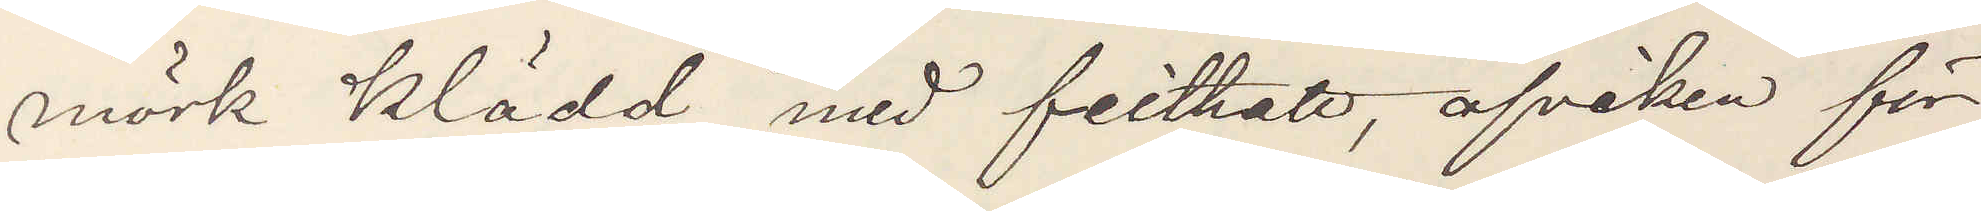mörk klädd med filthatt, afviken för
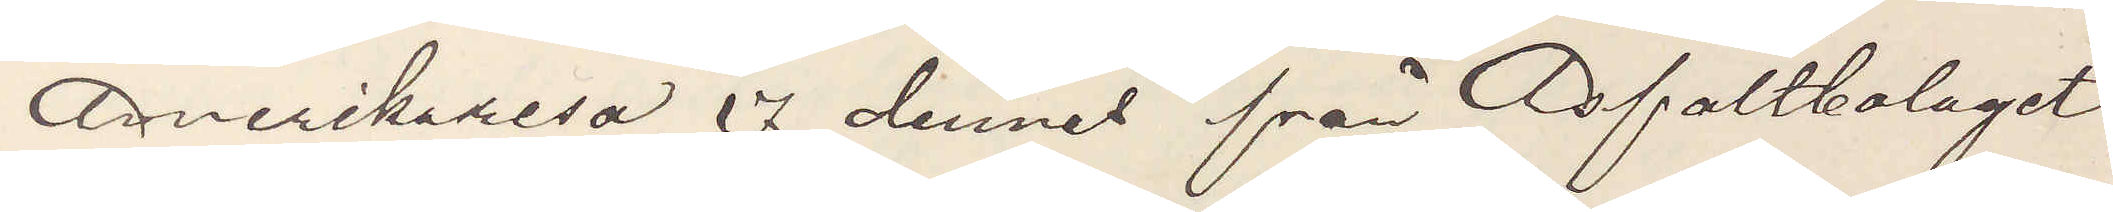Amerikaresa 17 dennes från Asfaltsbolaget
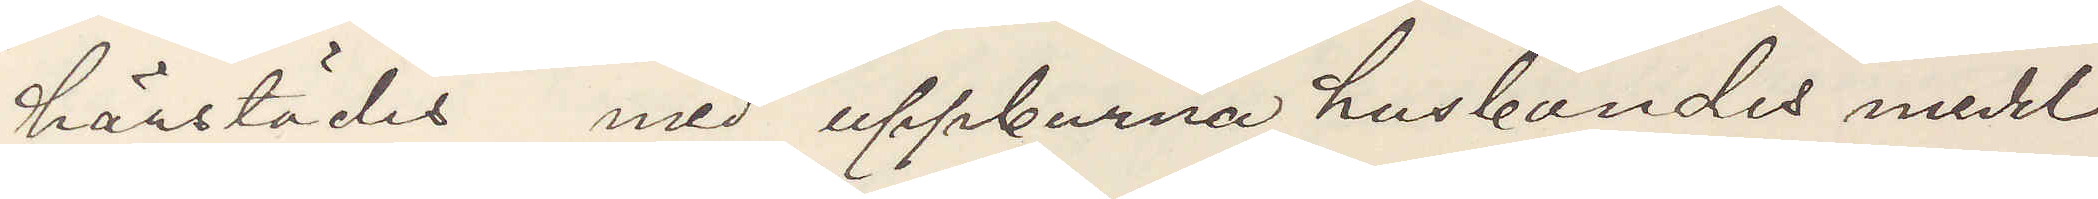härstädes med uppburna husbondes medel
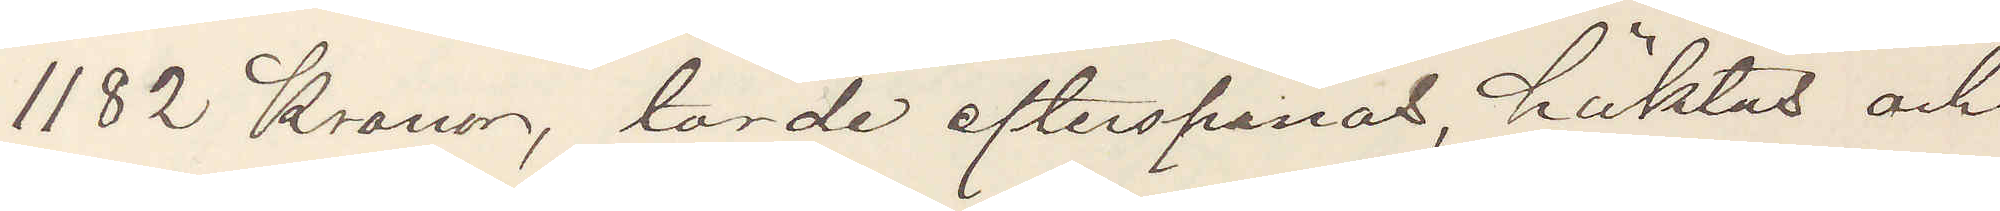1182 Kronor, torde efterspanas, häktas och
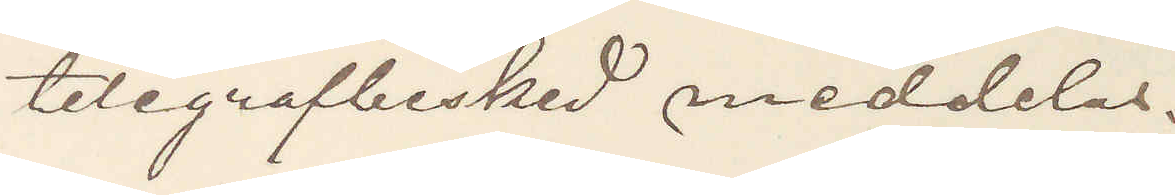telegrafbesked meddelas.
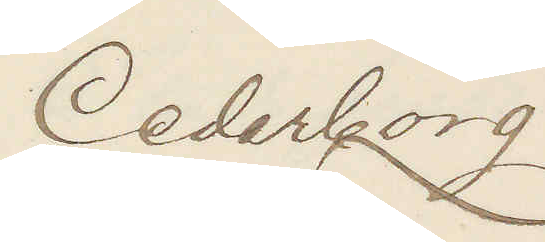Cederborg.
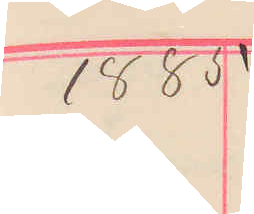1885
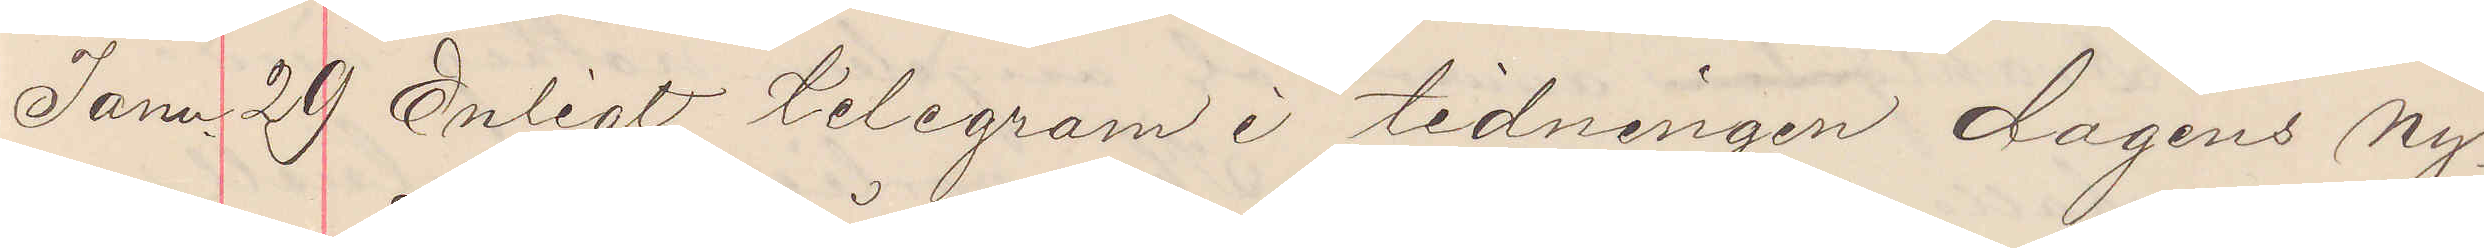Janu. 29 Enligt telegram i tidningen dagens ny¬
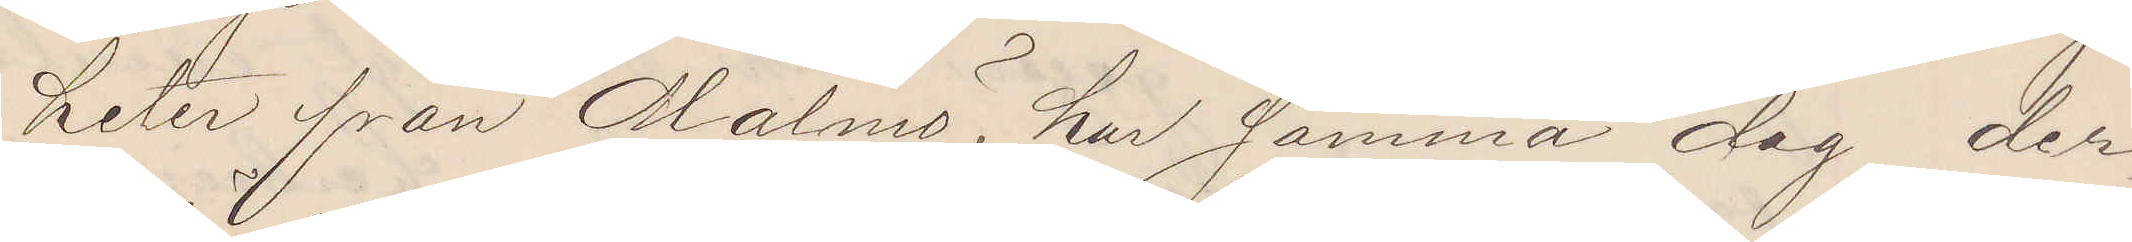heter från Malmö, har samma dag der¬
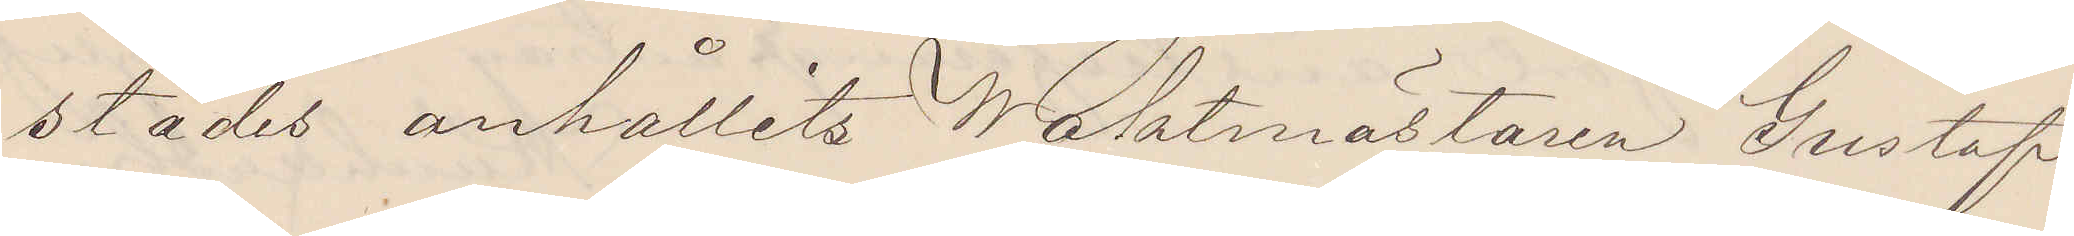städes anhållits Waktmästaren Gustaf
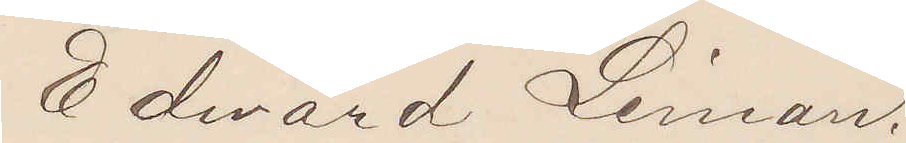Edward Liman.
